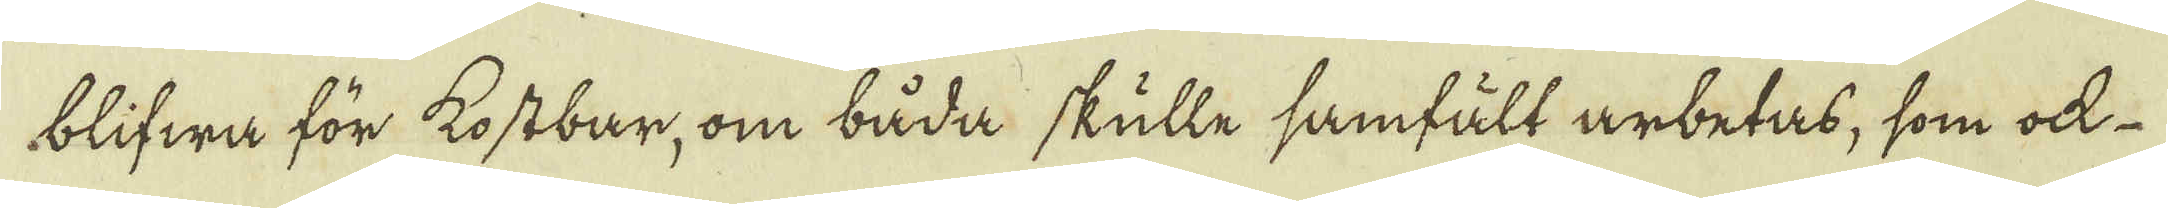blifwa för kostbar, om båda skulle samfält arbetas, som ock
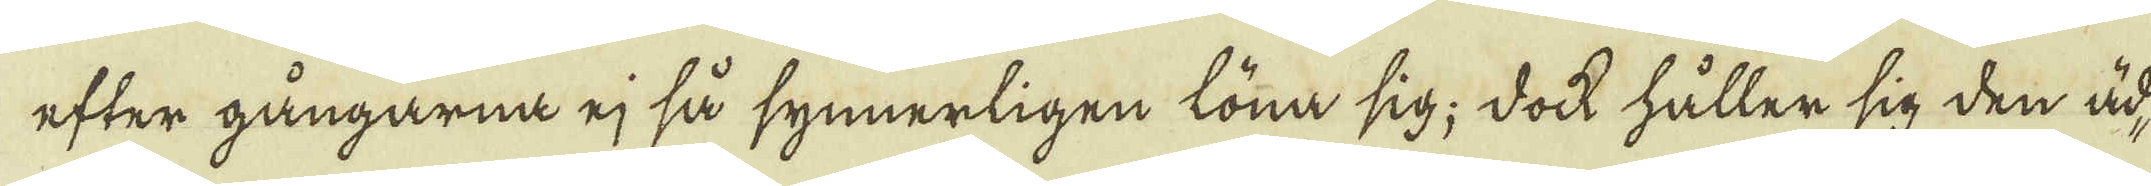efter gångarna ej så synnerligen löna sig; dock håller sig den äd-
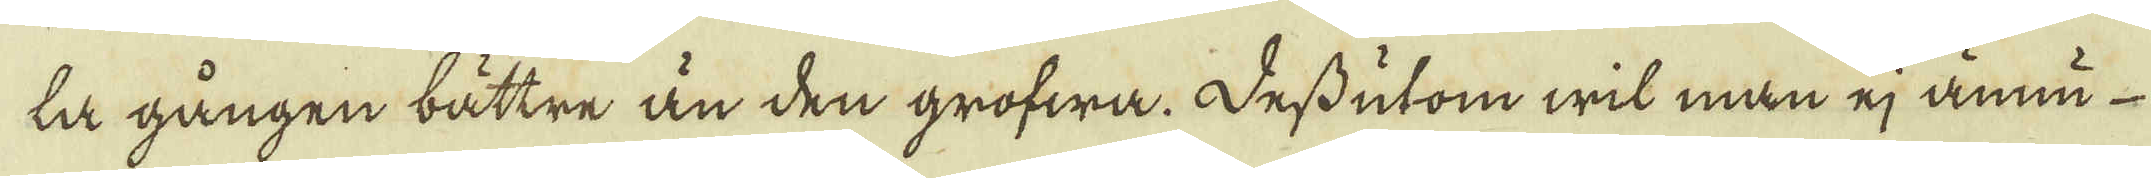la gången bättre än den grofwa. Dessutom wit man ej ännu
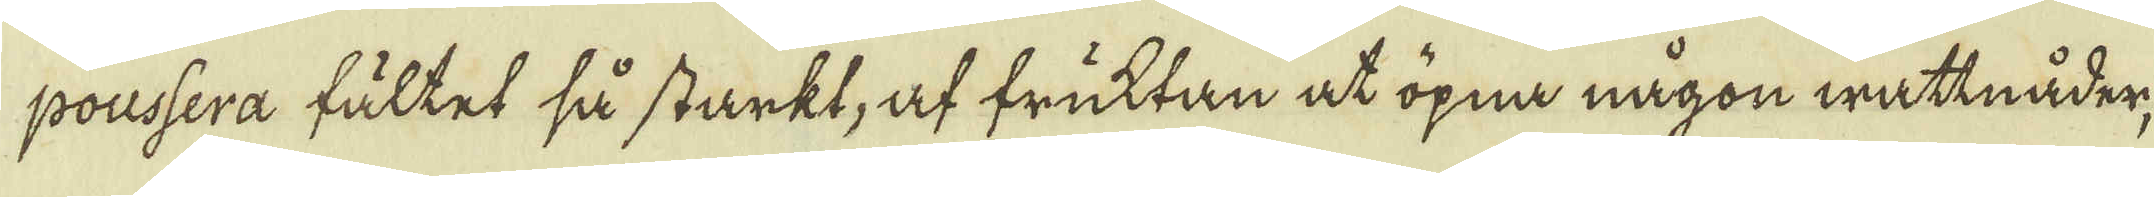poussera fältet så starkt, af fruktan at öpna någon wattnåder,
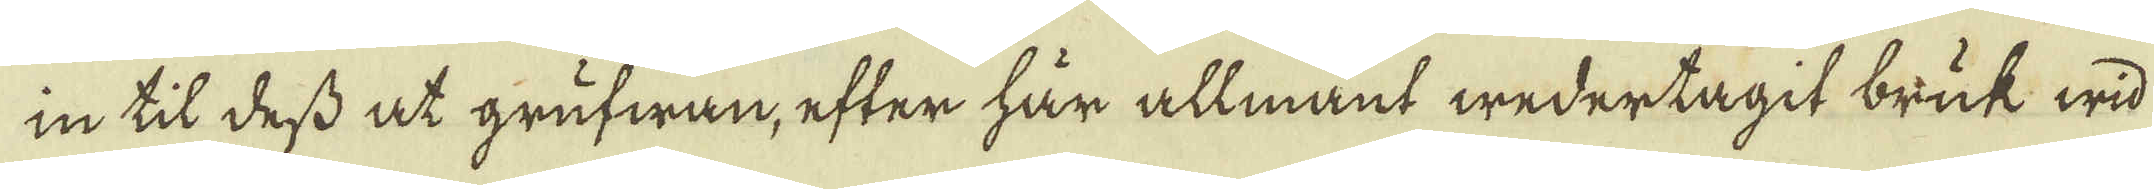in til dess at grufwan, efter här allmant wedertagit bruk wid
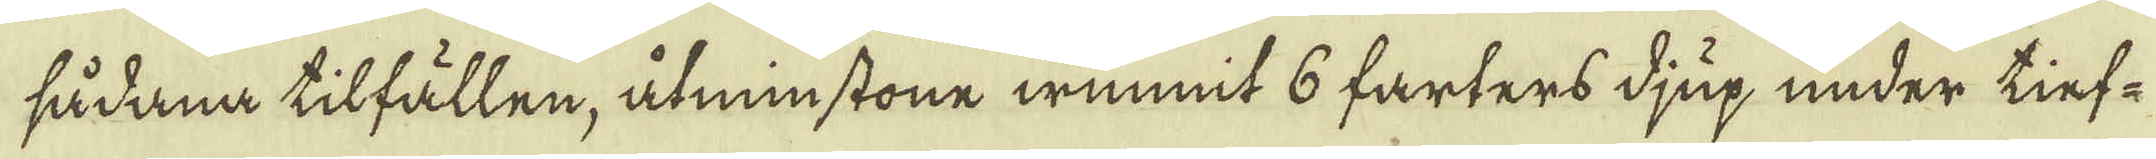sådana tilfällen, åtminstone wunnit 6 farters djup under tief-
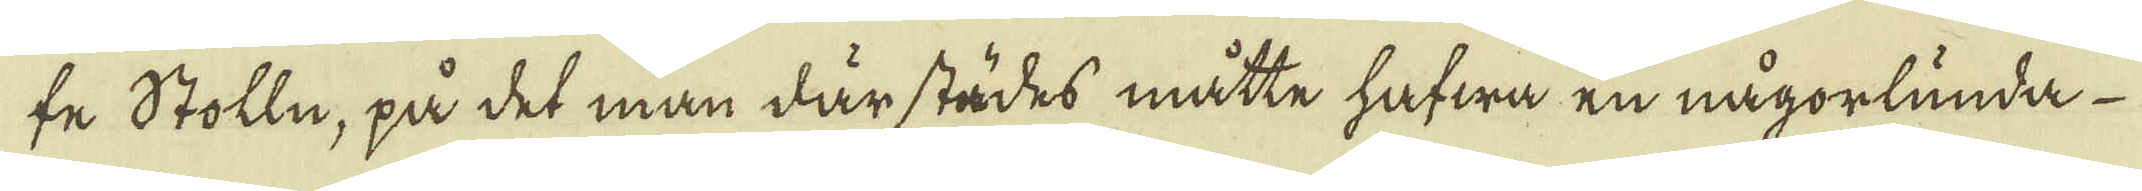fe Stolln, på det man därstädes måtte hafwa en någorlunda
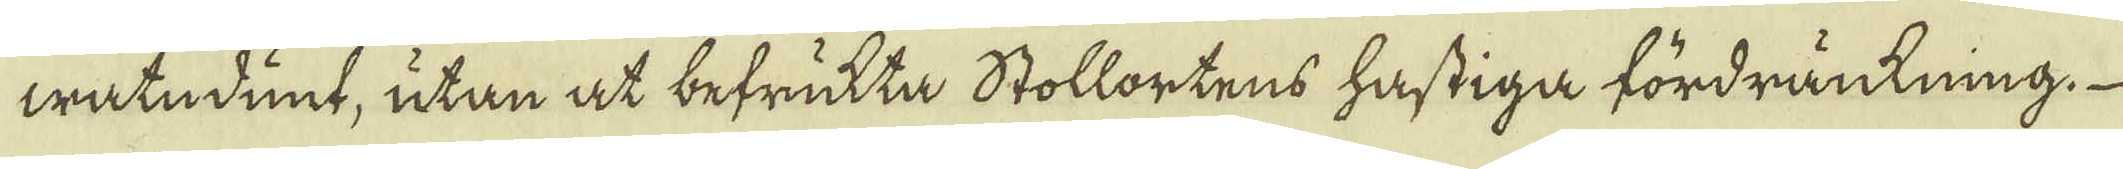watndunt, utan at befrukta Stollortens hastiga fördränkning,
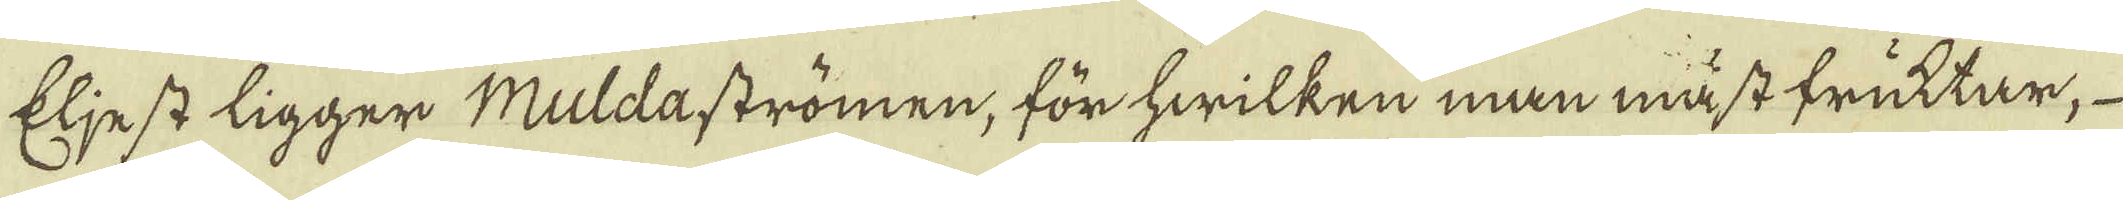Eljest ligger Muldaströmen, för hwilken man måst fruktar,	
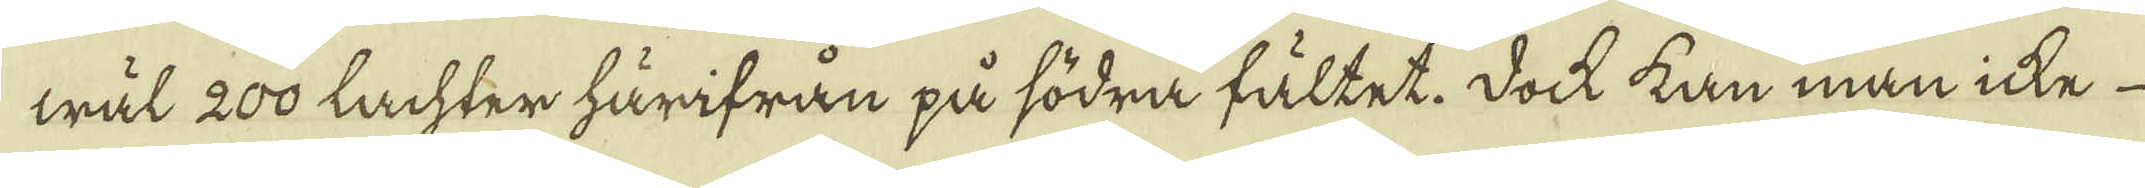wäl 200 lachter härifrån på södra fältet. Dock kan man icke
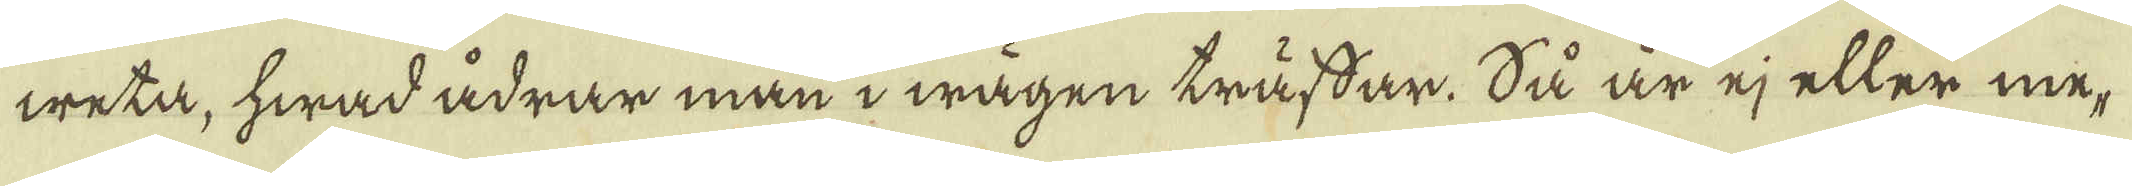weta, hwad ådrar man i wägen träfsar. Så är ej eller me-
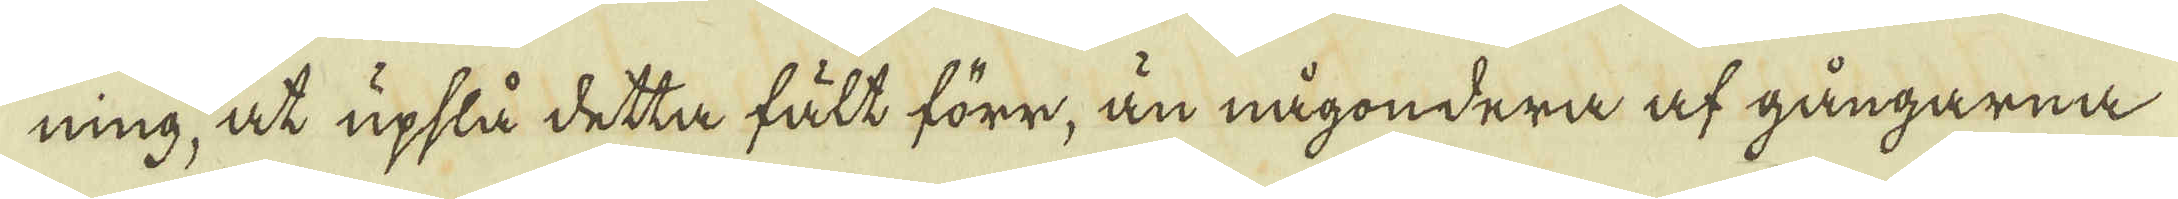ning, at upslå detta fält förr, än någondera af gångarna
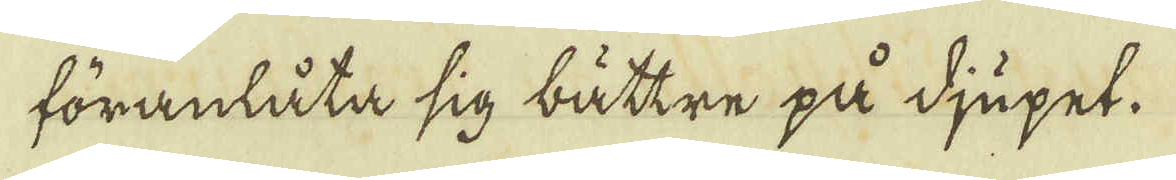föranlåta sig bättre på djupet.
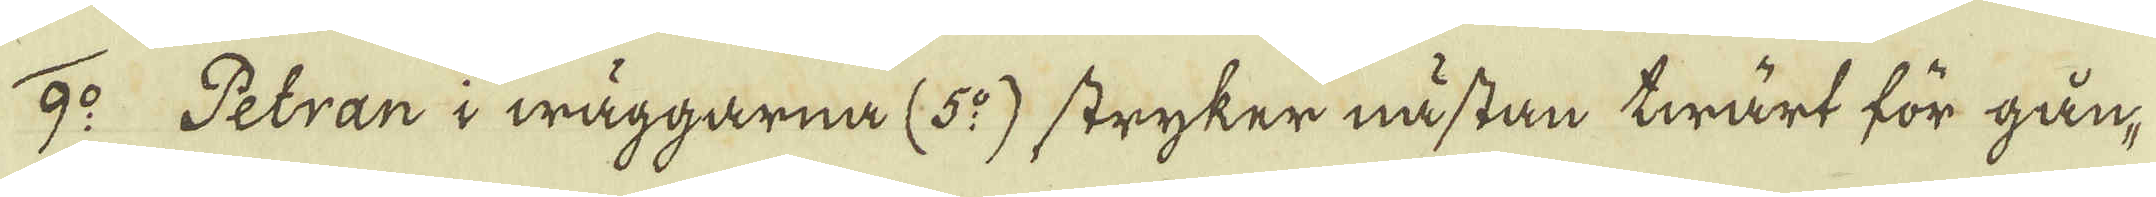9:o Petran i wäggarna (5:o) stryker nästan twärt för gån-
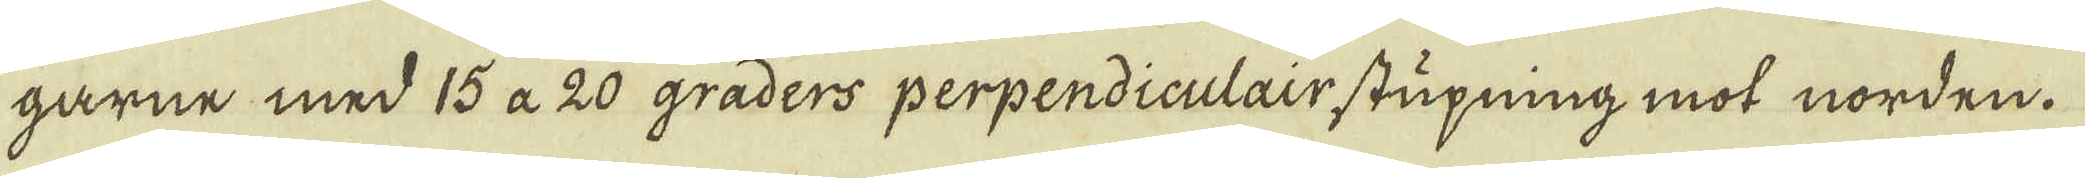garne med 15 a 20 graders perpendiculair stupning mot norden.
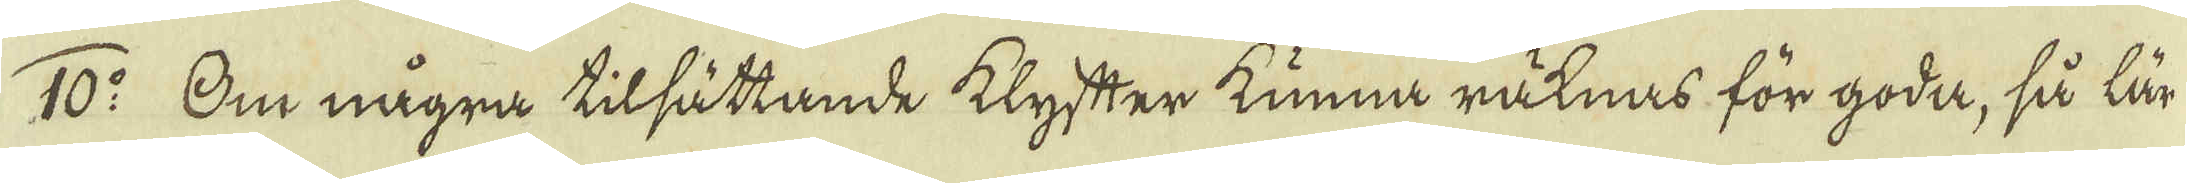10:o Om några tilsättande klyfter kunna räknas för goda, så lär
